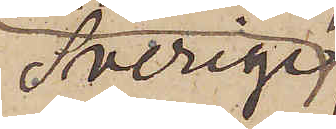Sverige
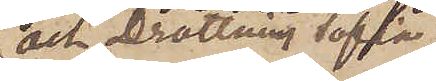och Drottning Sofia,
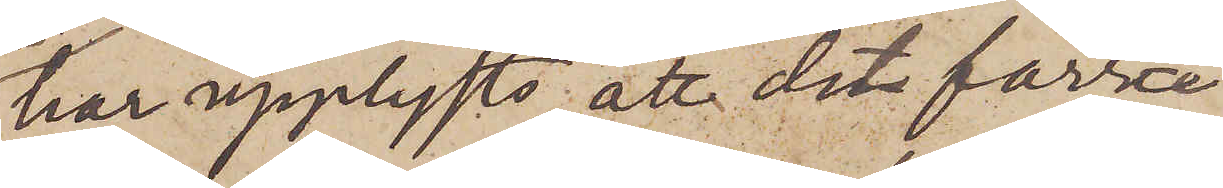har upplysts, att det förra
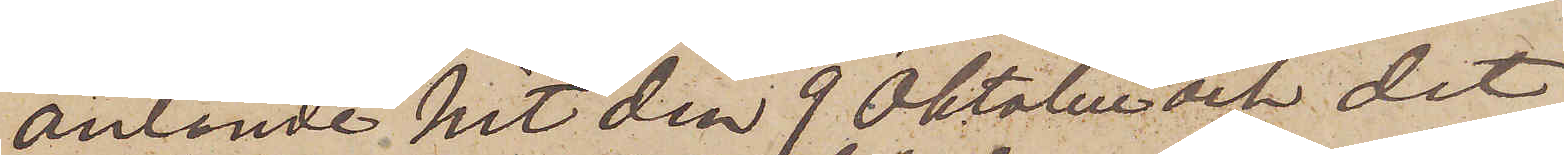anlände hit den 9 Oktober och det
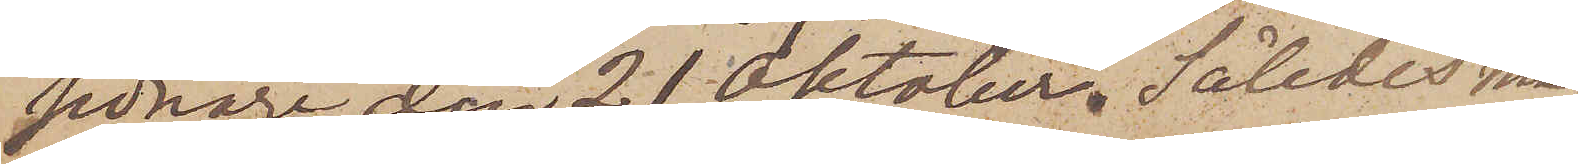sednare den 21 Oktober. Således må¬
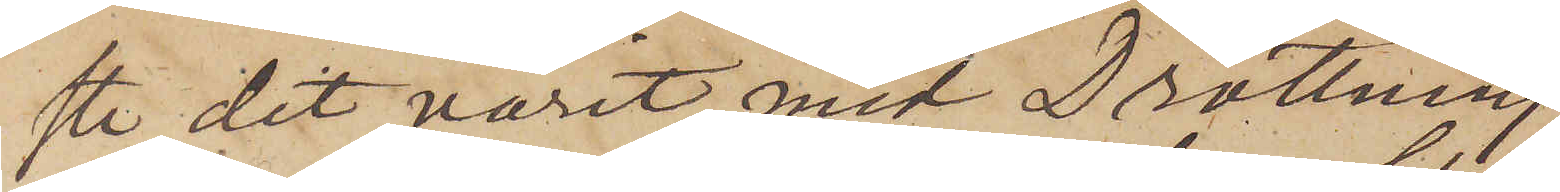ste dit varit med Drottning
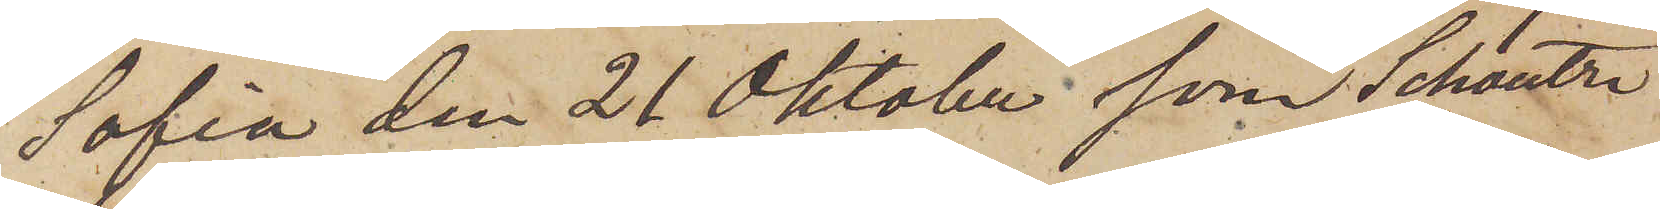Sofia den 21 Oktober som Schoultz
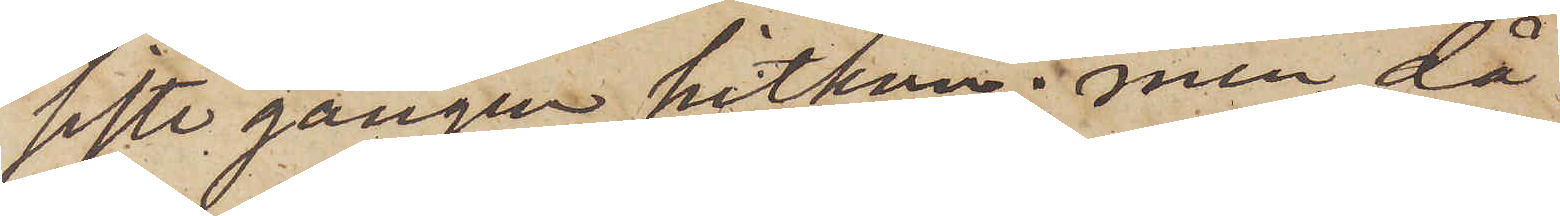siste gången hitkom; men då
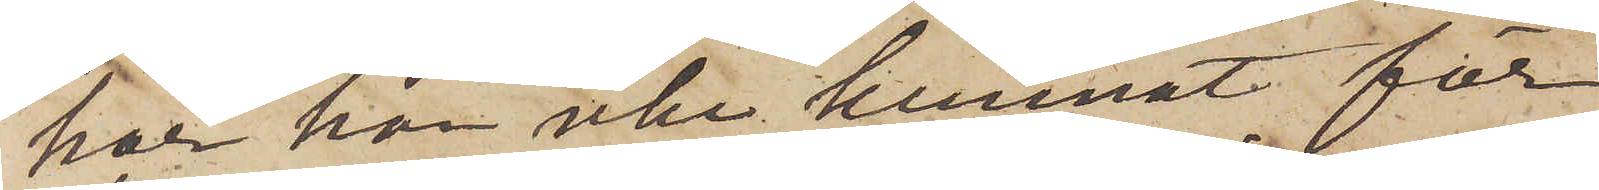har han icke kunnat för¬
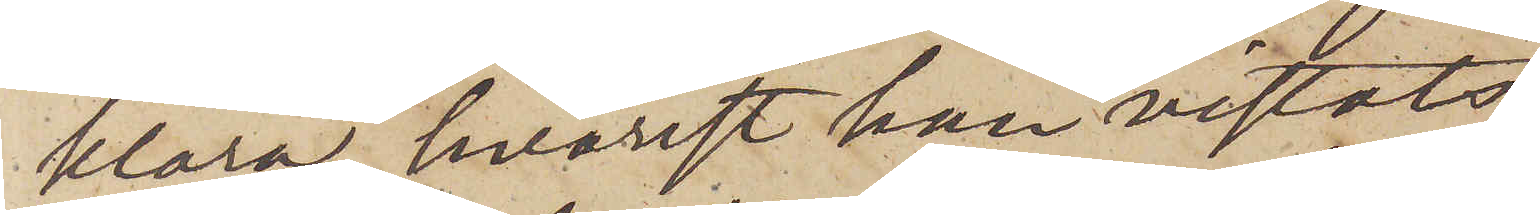klara, hvarest han vistats
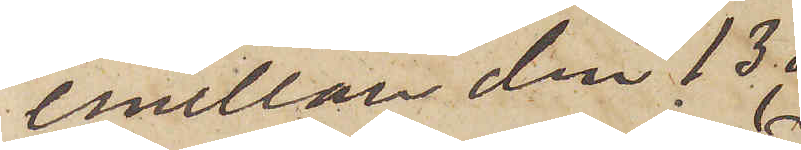emellan den 13 
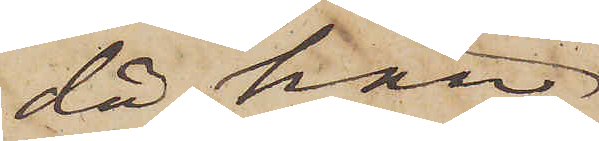då han
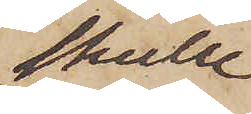skulle
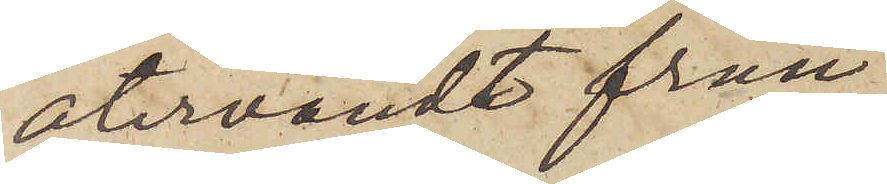återvändt från
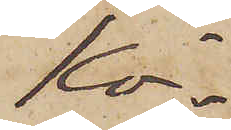Kö¬
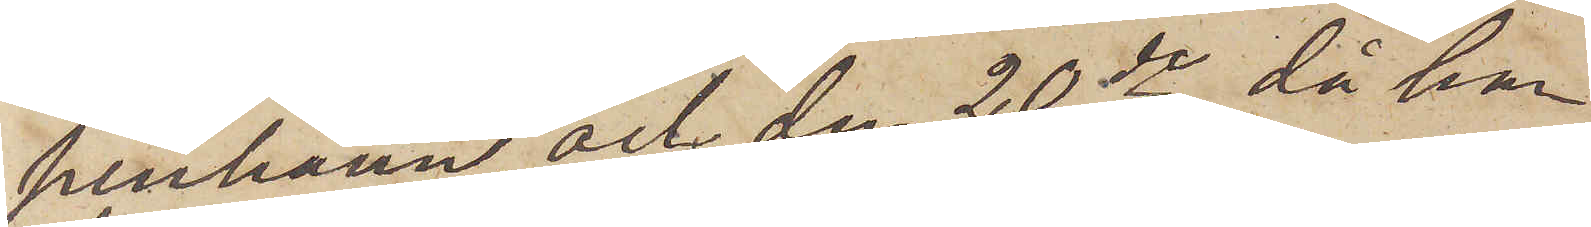penhamn, och den 20 de, då han
